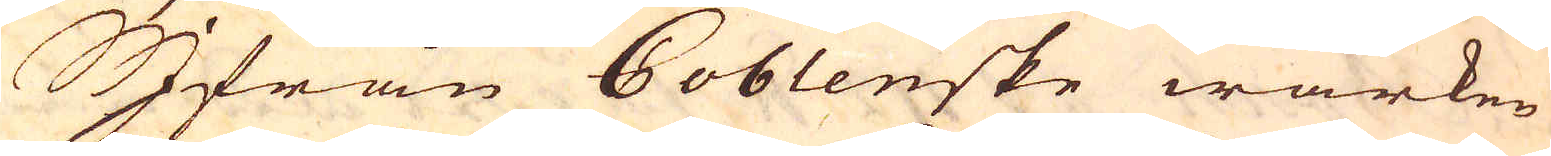Ifrån Coblenske wärken
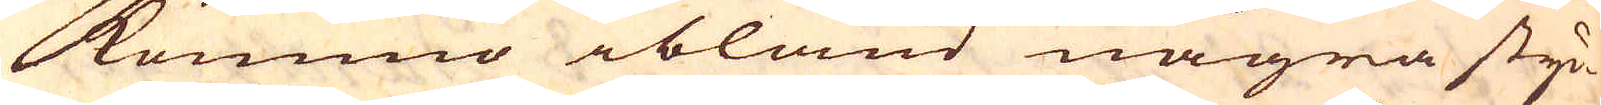kommo ibland några styc-
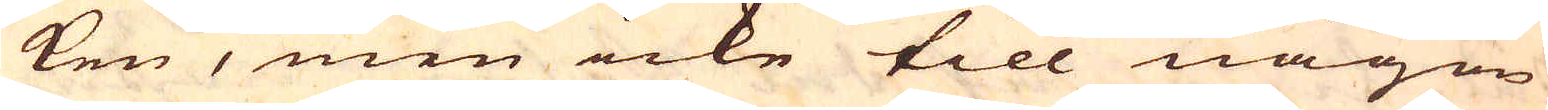ken, men icke till någon
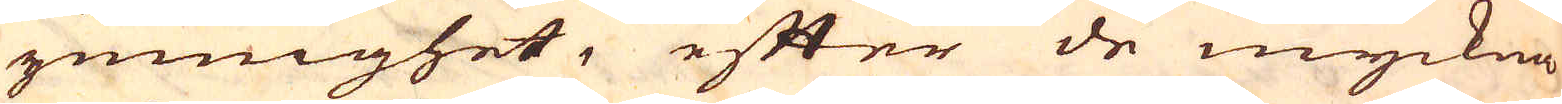ymnighet, efter de myckna
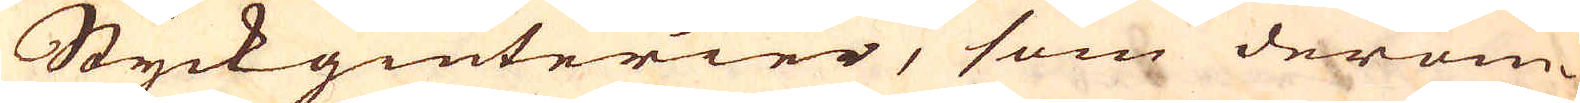Styckgiuterier, som derom-
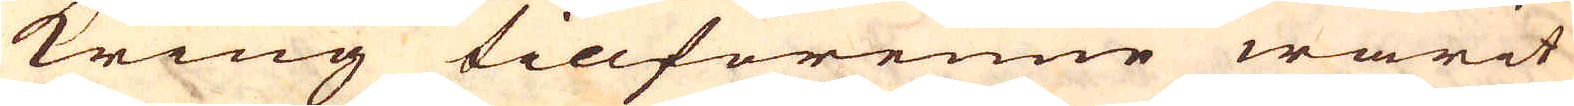kring tilförenne warit
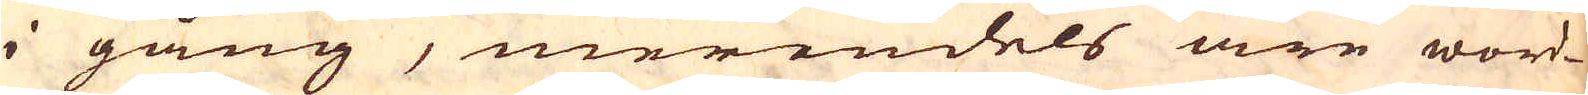i gång, merendels äre word-
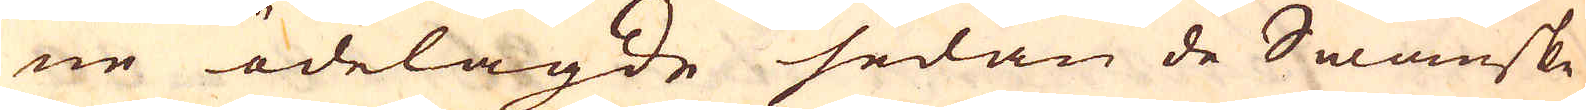ne ödelagde sedan de Swänske
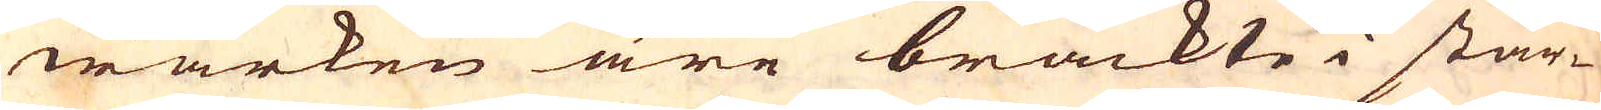wärken äre brackte i star-
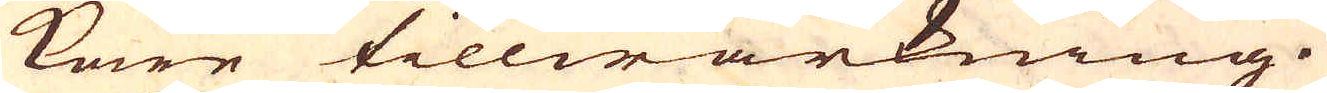kare tillwärkning.
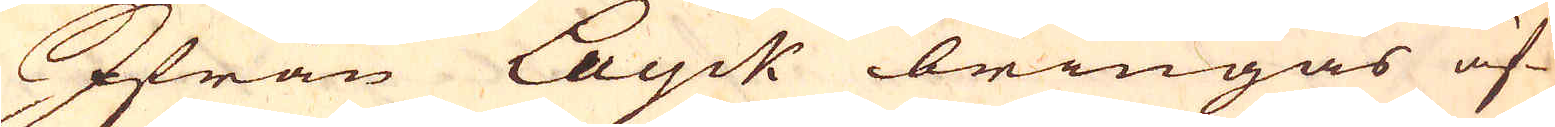Ifrån Layck bringas äf-
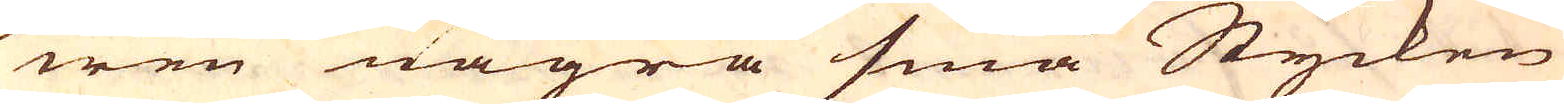wen några små Stycken
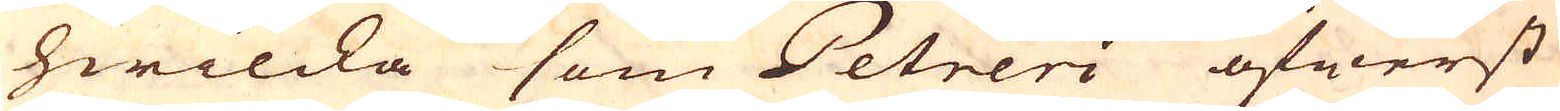hwilcka som Petreri öfwerst
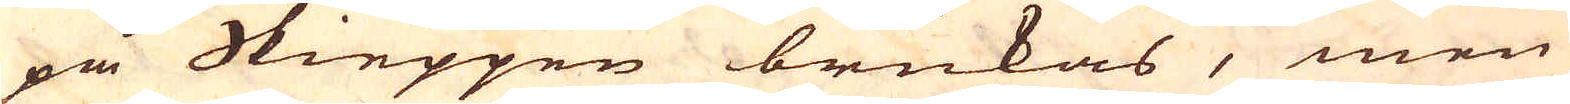på Skieppen brukas, men
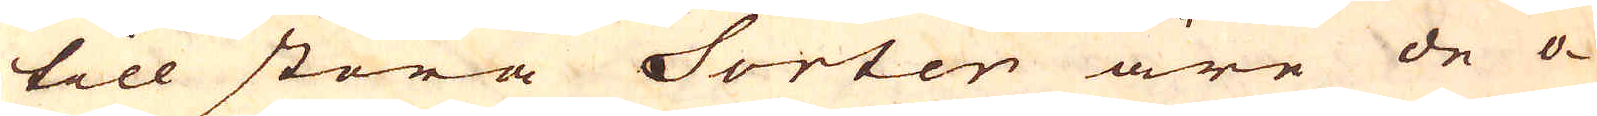till stora Sorten äre de o-
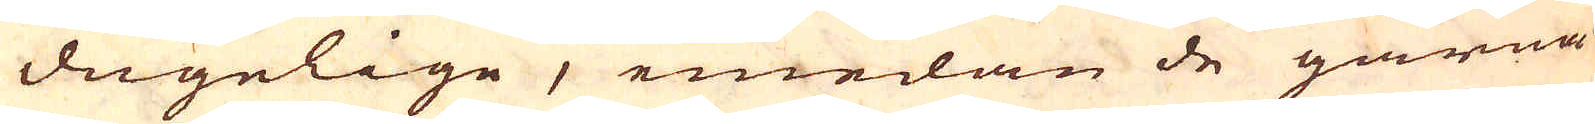dugelige, emedan de gärna
